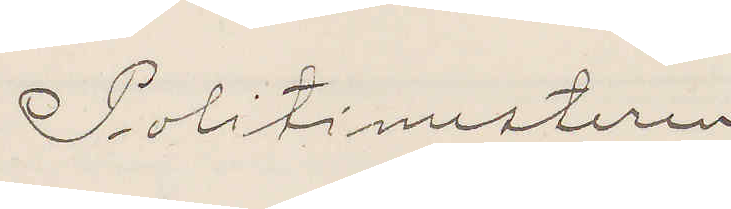Politimesteren
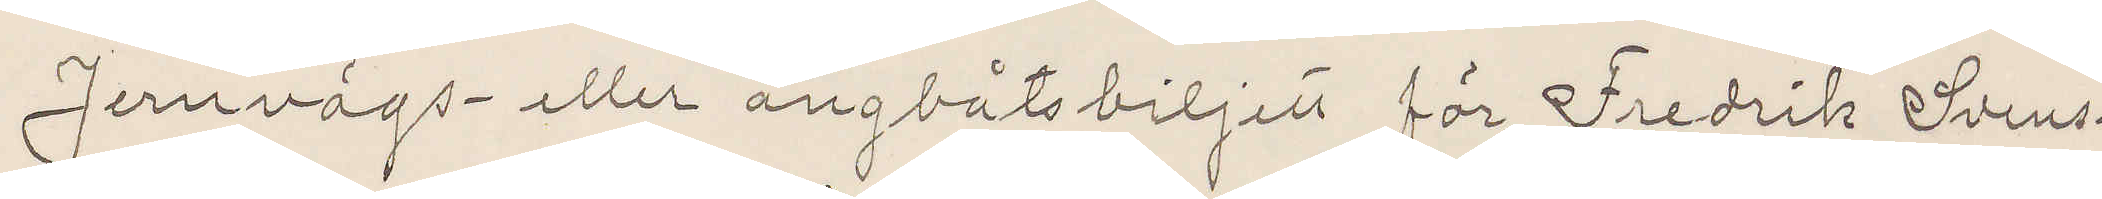Jernvägs- eller ångbåtsbiljett för Fredrik Svens¬
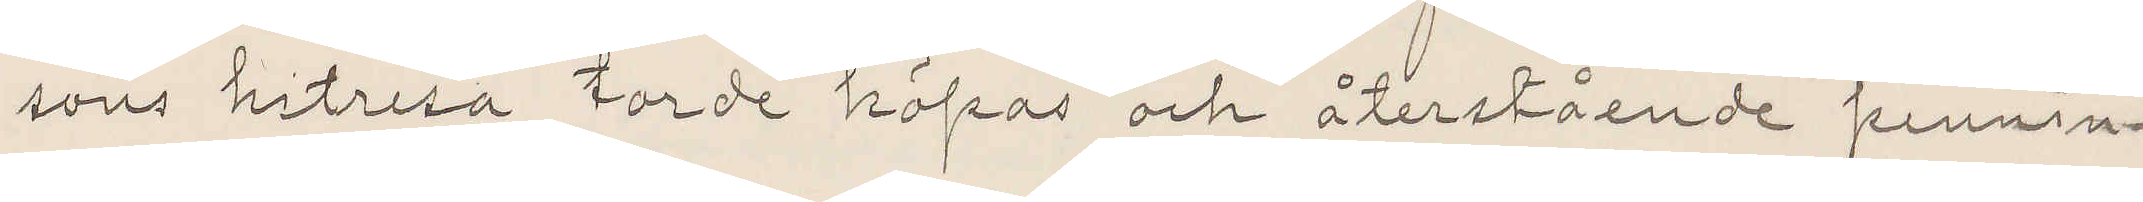sons hitres torde köpas och återstående pennin¬
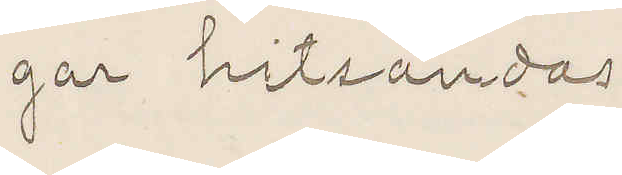gar hitsändas.
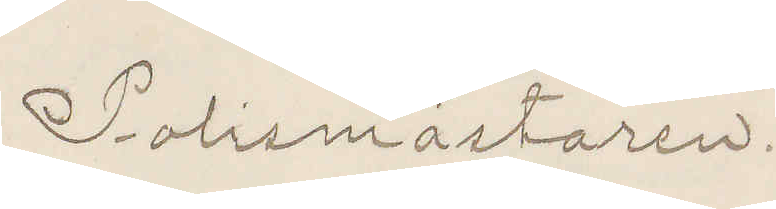Polismästaren.
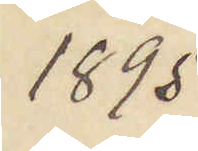1895
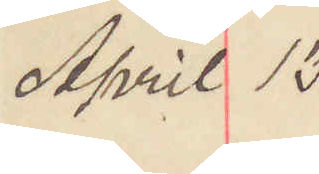April 13
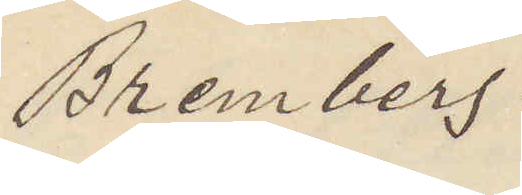Bremberg.
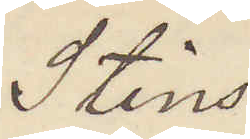Stins
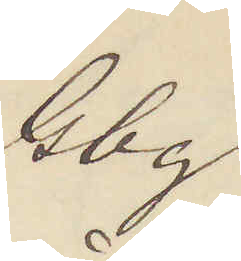Gbg.
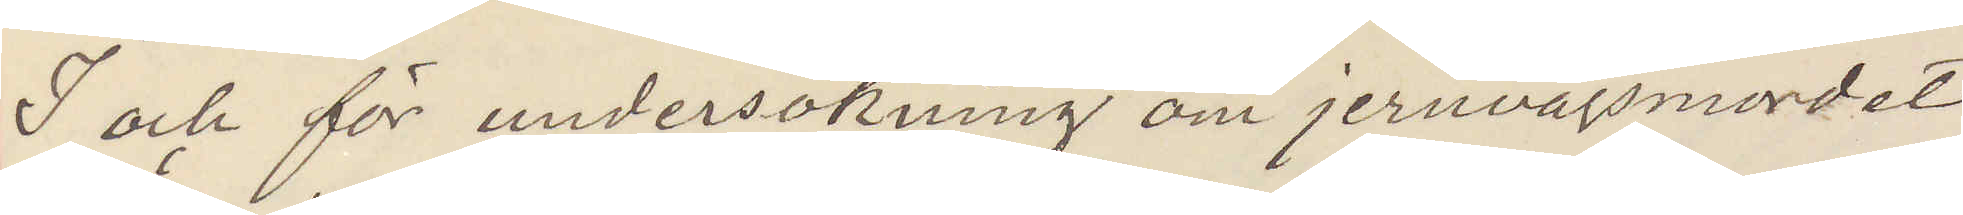I och för undersökning om jernvägsmordet
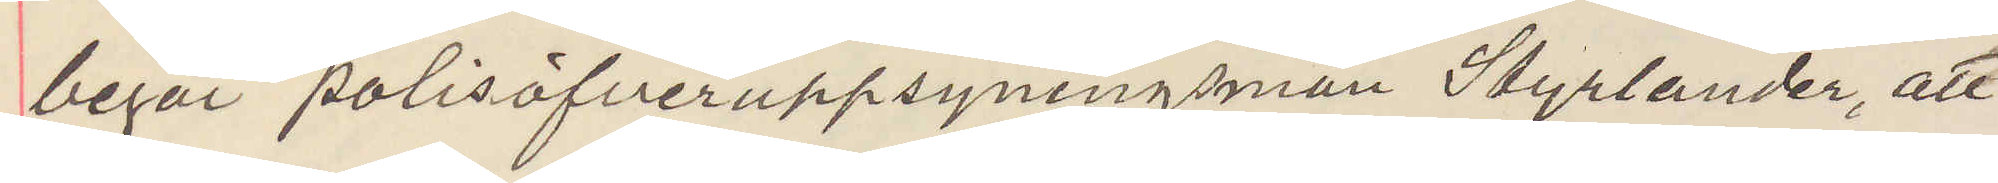begär polisöfveruppsyningsman Styrlander, att
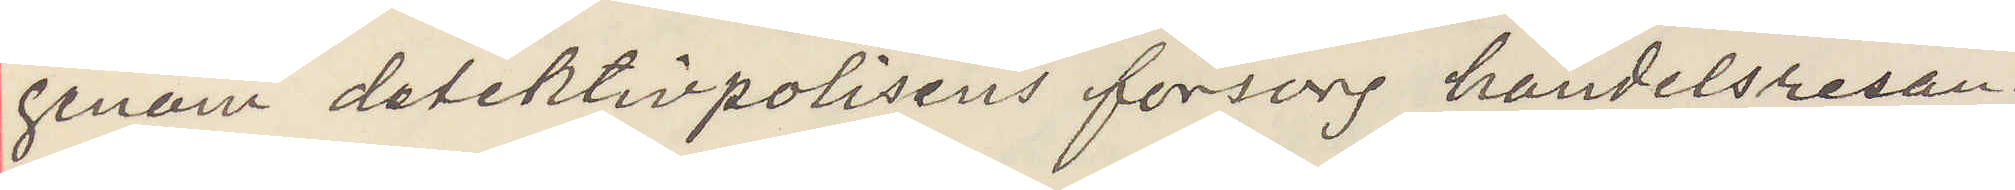genom detektivpolisens försorg handelsresan¬
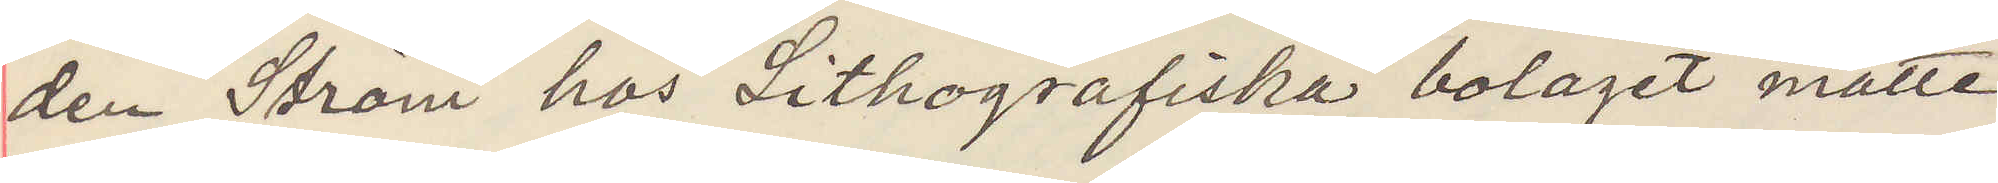den Ström hos Lithografiska bolaget måtte
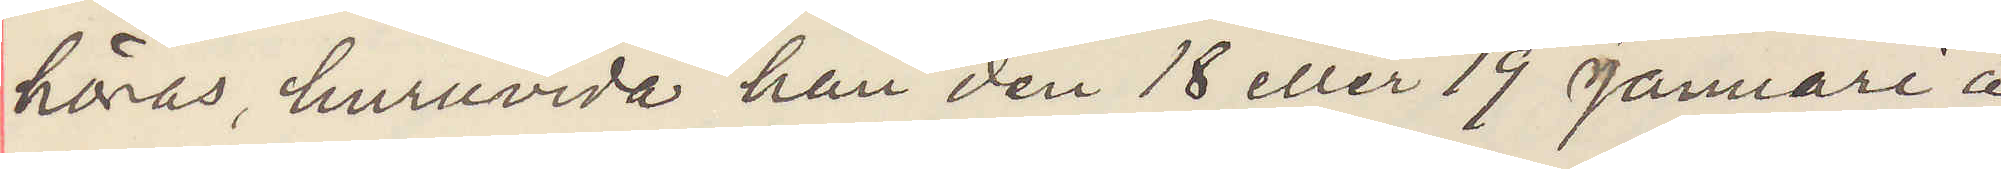höras, huruvida han den 18 eller 19 Januari å
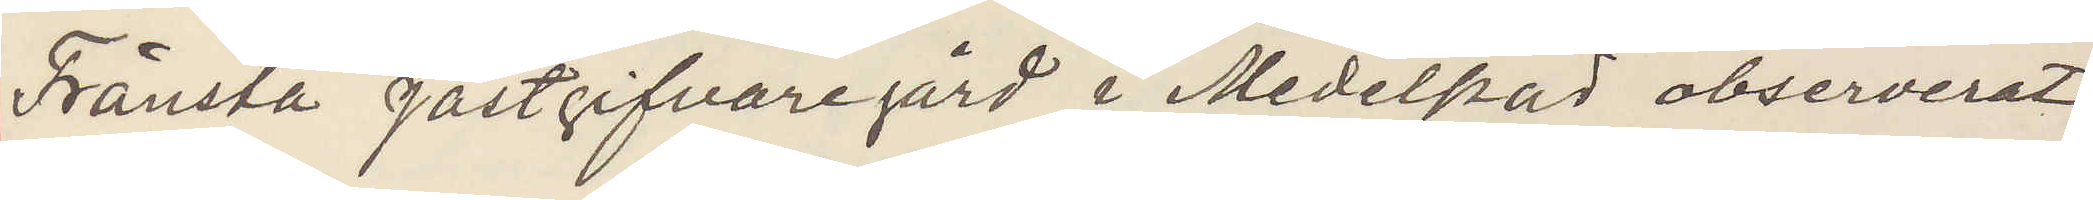Fränsta jästgifvaregård i Medelpad observerat
